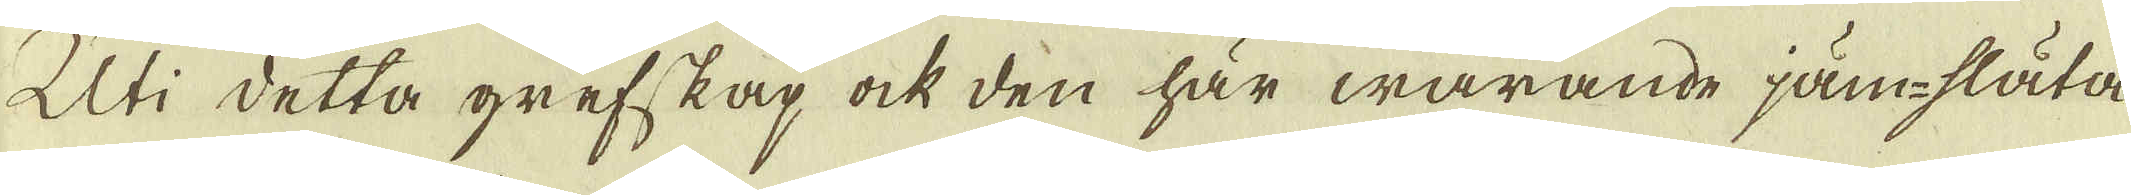Uti detta grefskap ock den här warande jäm-släta
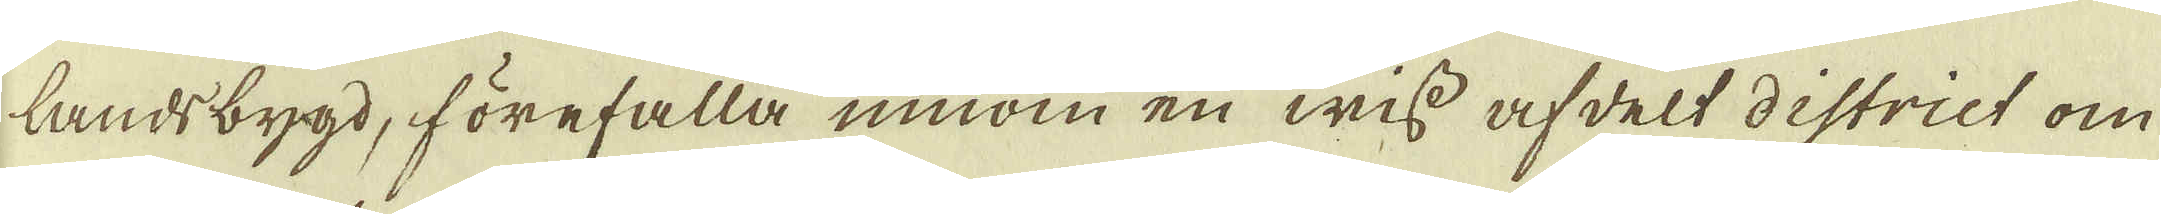landsbygd, förefalla innom en wiss afdelt district om
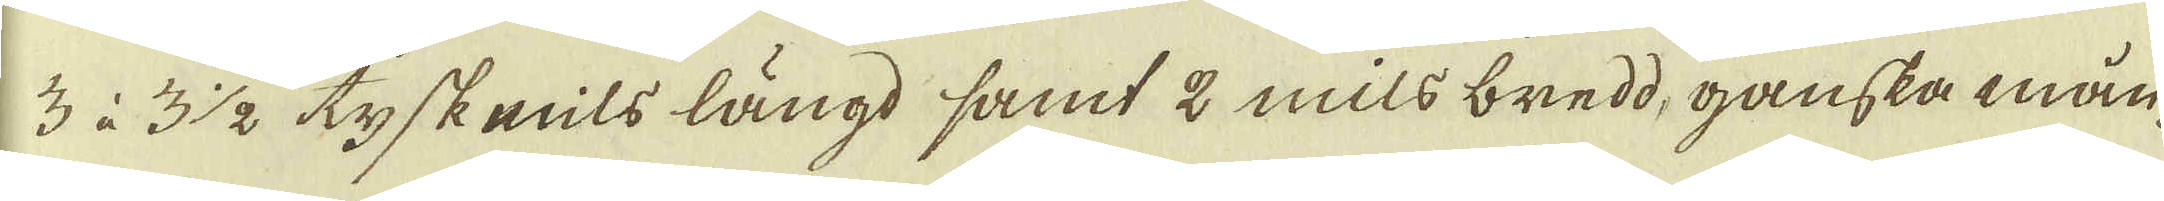3 à 3 1/2 tyskemils längd samt 2 mils bredd, ganska mån-
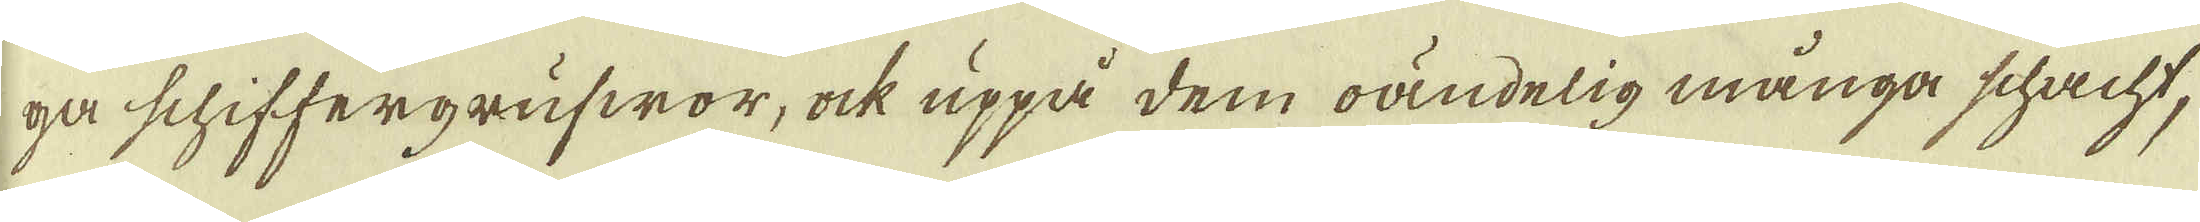ga schiffergrufwor, ock uppå dem oändelig många schacht,
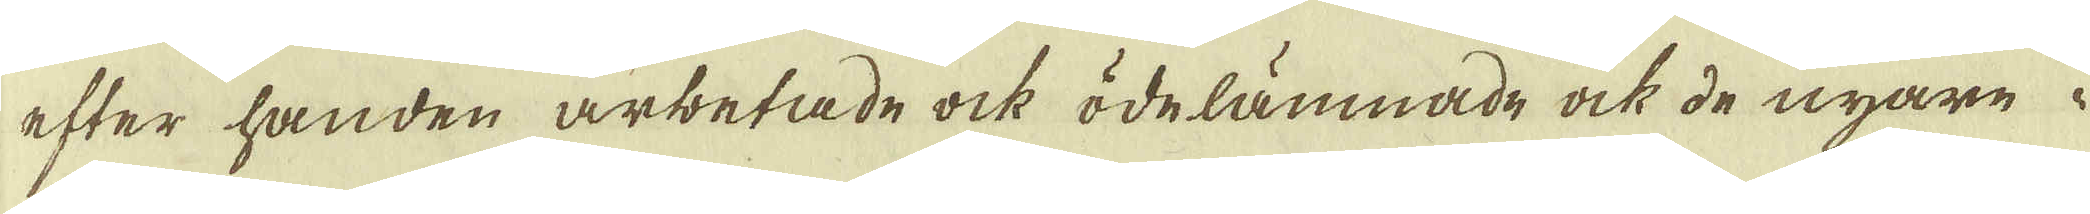efter handen arbetade ock ödelämnade ock de nyare i
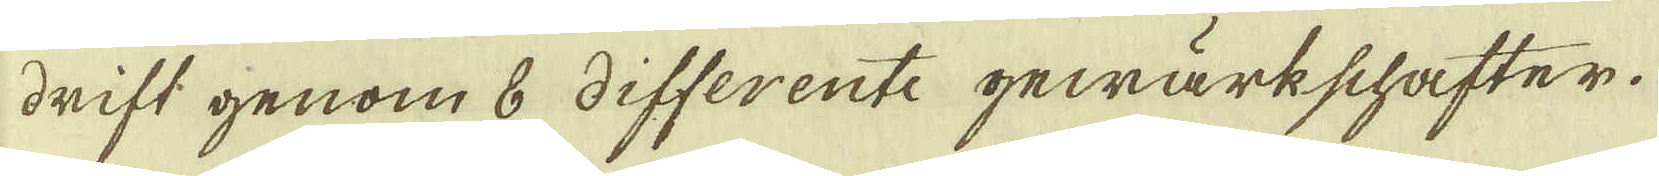drift genom 8 differente gewärkschafter.
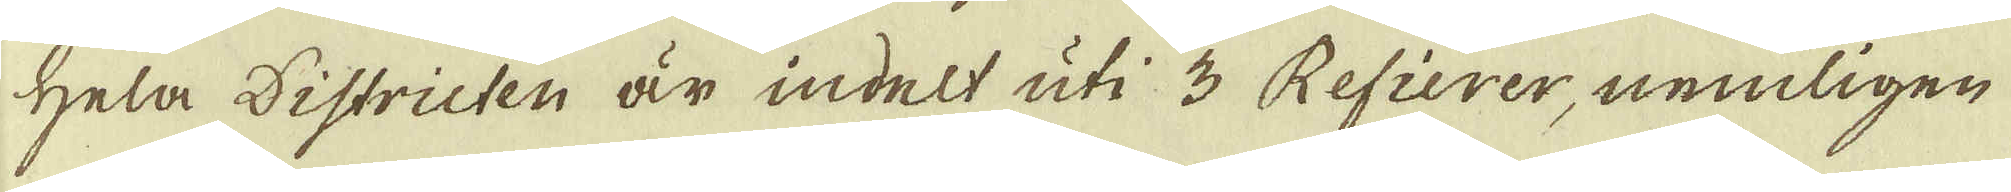Hela Districten är indelt uti 3 Refierer, nemligen.
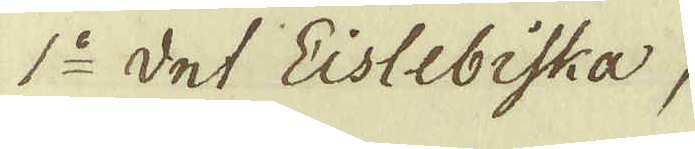1:o det Eislebiska,
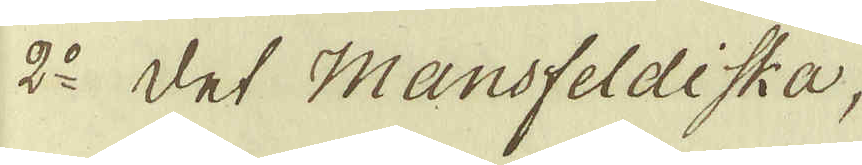2:o det Mansfeldiska,
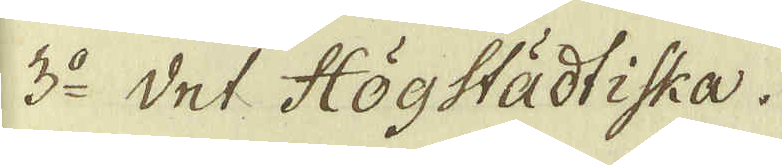3:o det Högstädtiska.
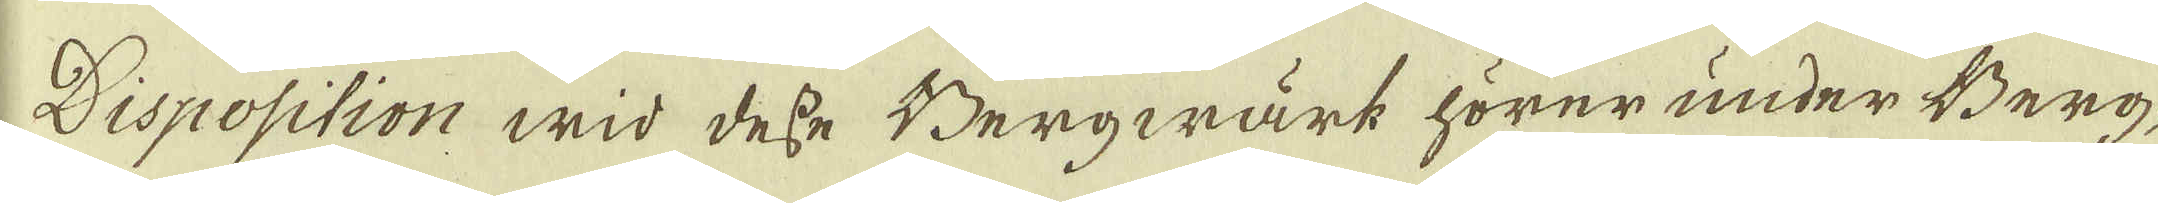Disposition wid desse Bergwärk hörer under Berg-
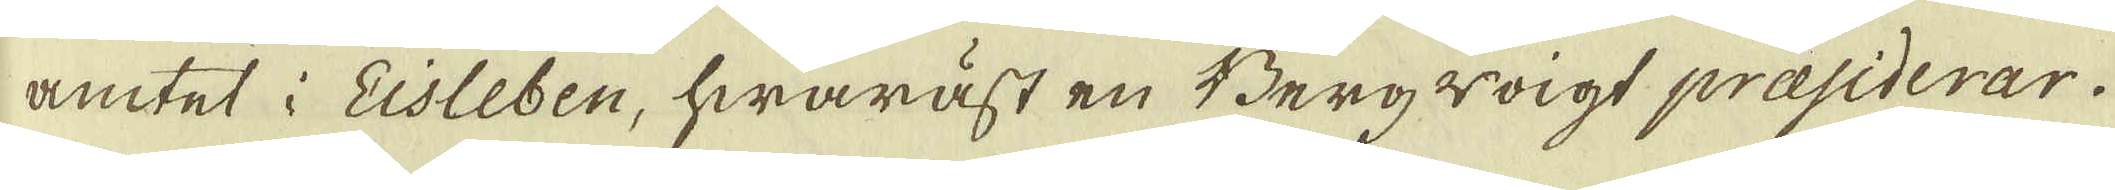amtet i Eisleben, hwaräst en Bergwoigt praesiderar.
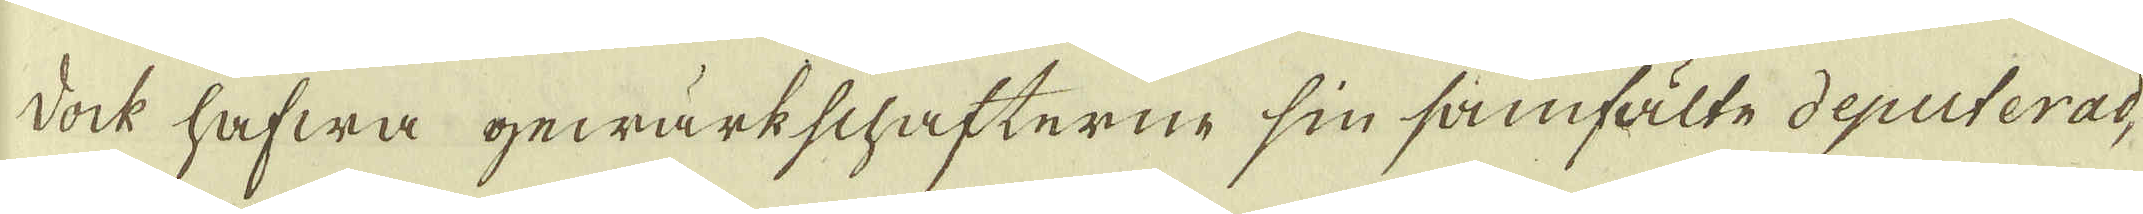Dock hafwa gewärkschafterne sin samfälte deputerad,
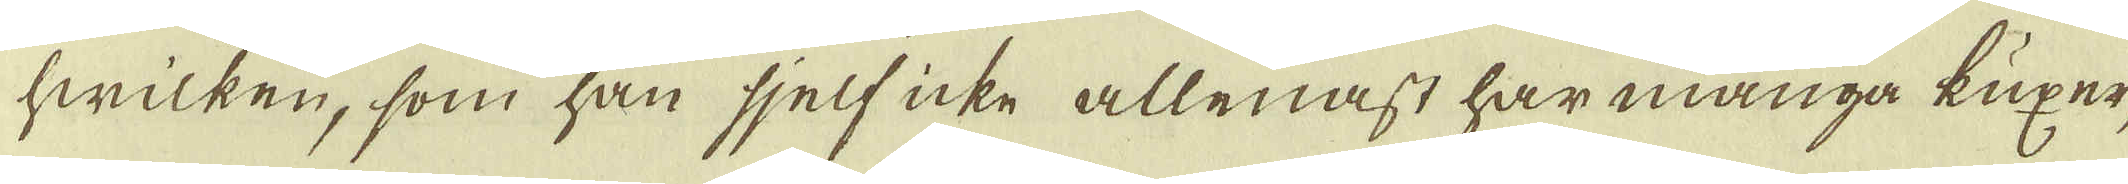hwilken, som han sjelf icke allenast har många kuxer,
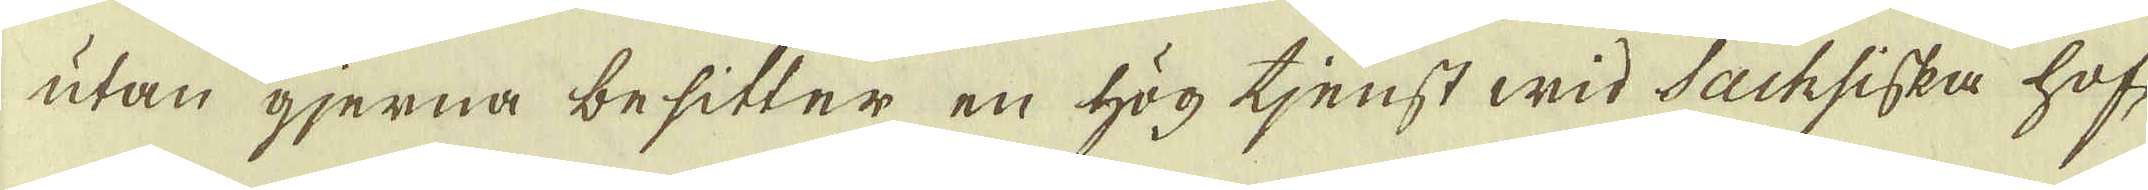utan gjerna besitter en hög tjenst wid Sachsiska hof-
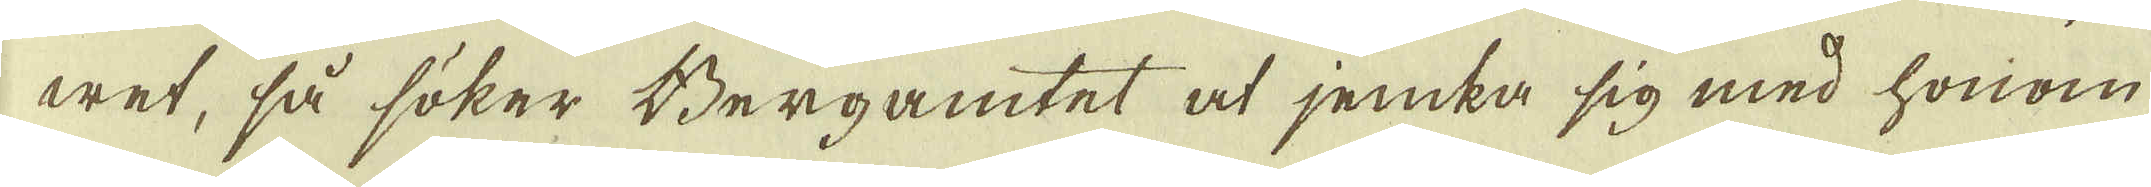wet, så söker Bergamtet at jemka sig med honom
